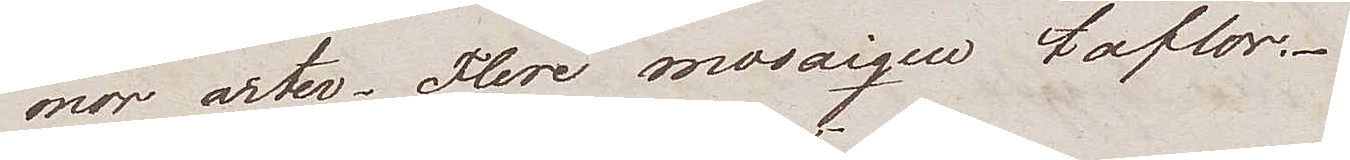mor arter. Flere mosaiqeu taflor.
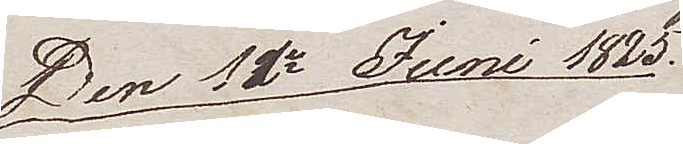Den 12de Juni 1825
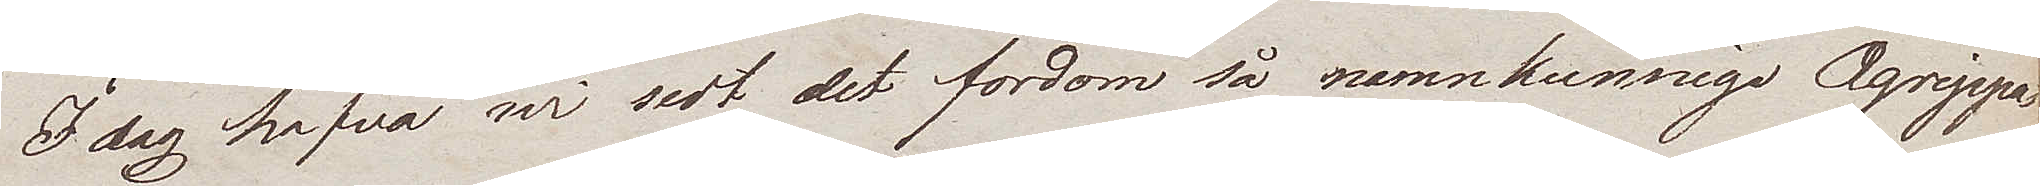Idag hafva wi sedt det fordom så namnkunnige Agrippa
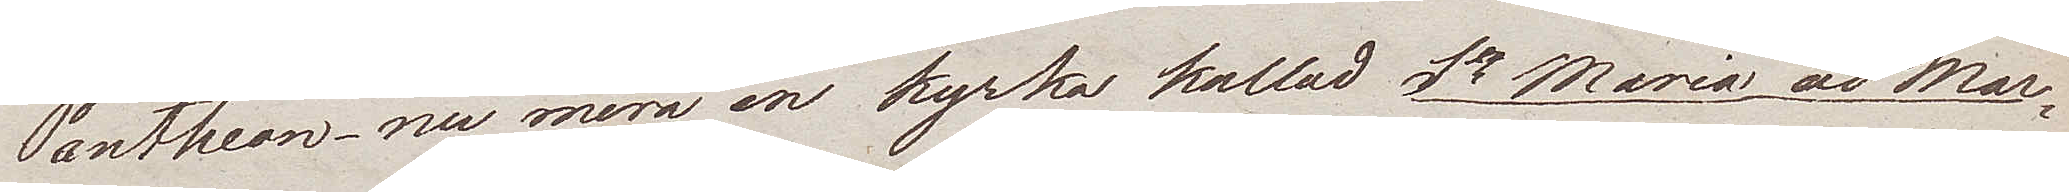Pantheon – nu mera en kyrka kallad Sta Maria ad Mar¬
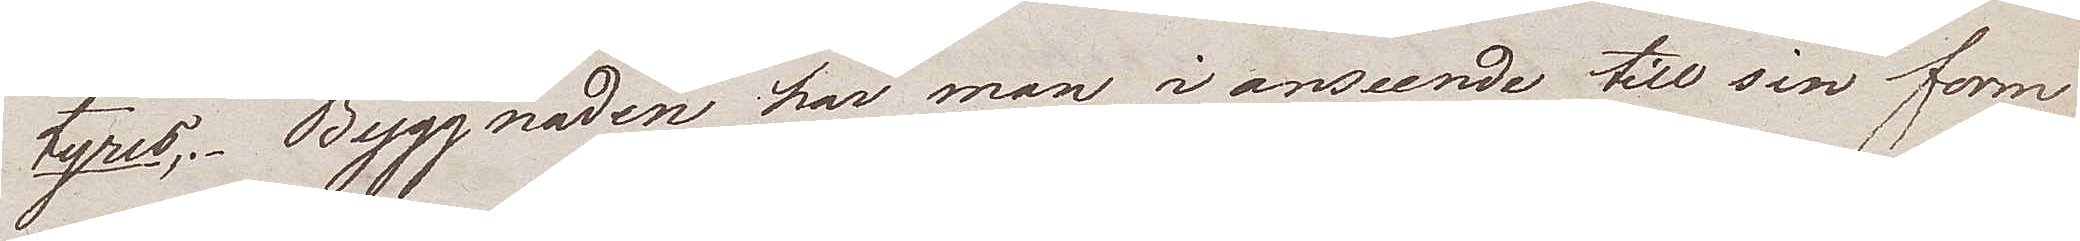tyres. Byggnaden har man i anseende till sin form
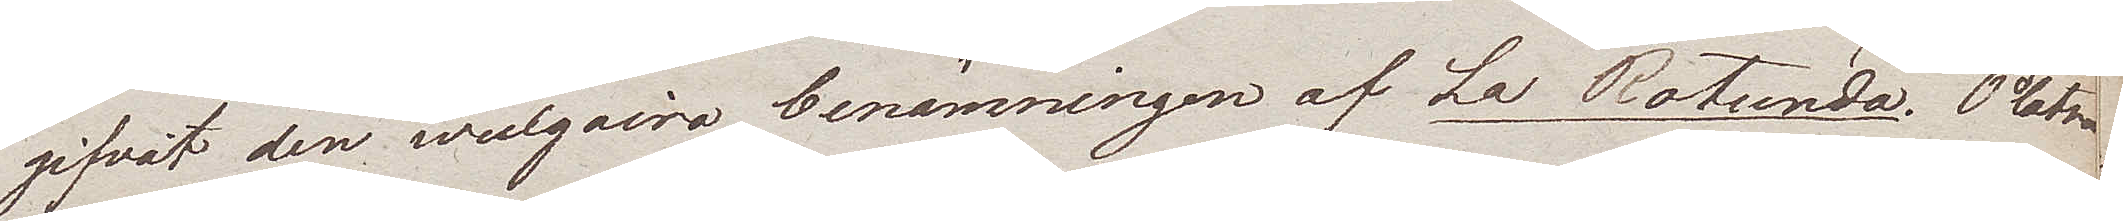gifvit den wulgaira benämningen af La Rotunda. Platsen
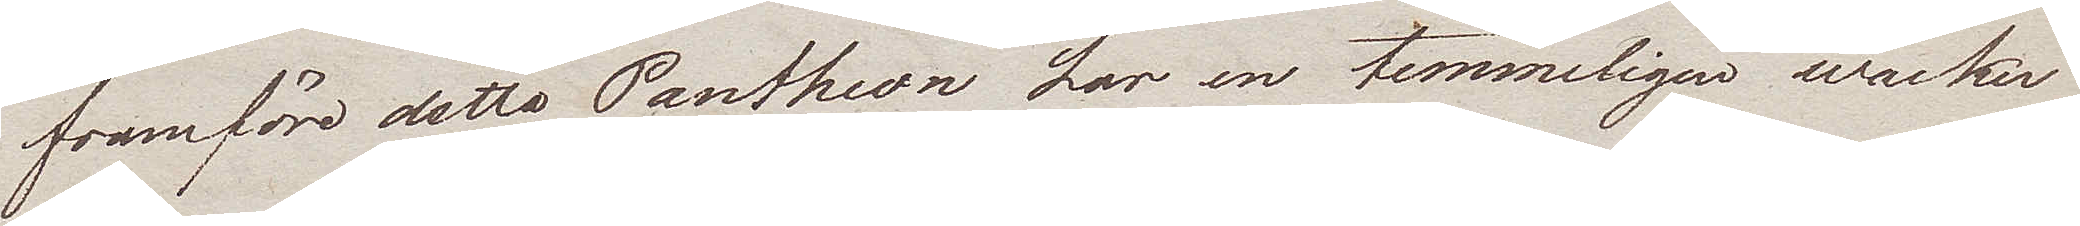framföre detta Pantheon har en temmeligen wacker
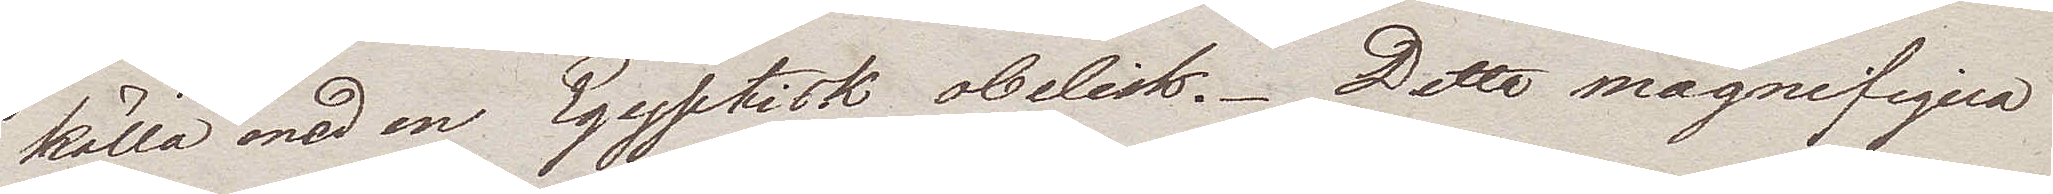källa med en Egyptisk obelisk. Detta magnifiqua
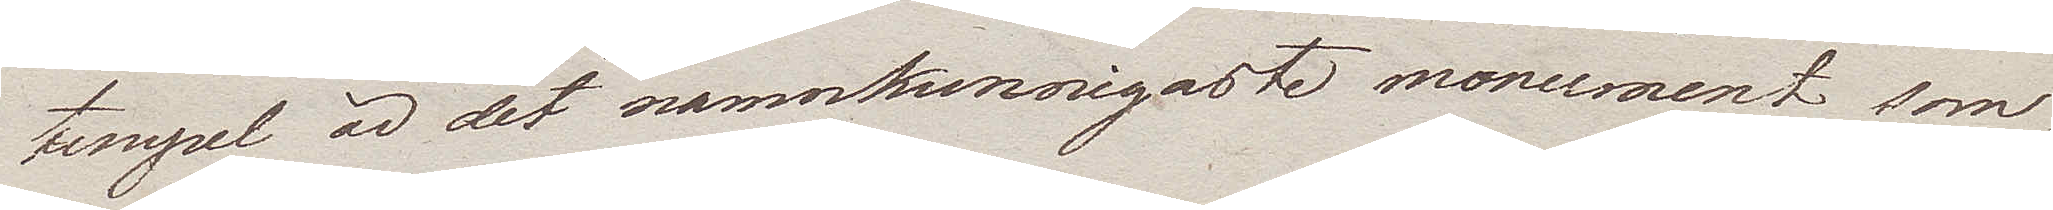tempel är det namnkunnigaste monument som
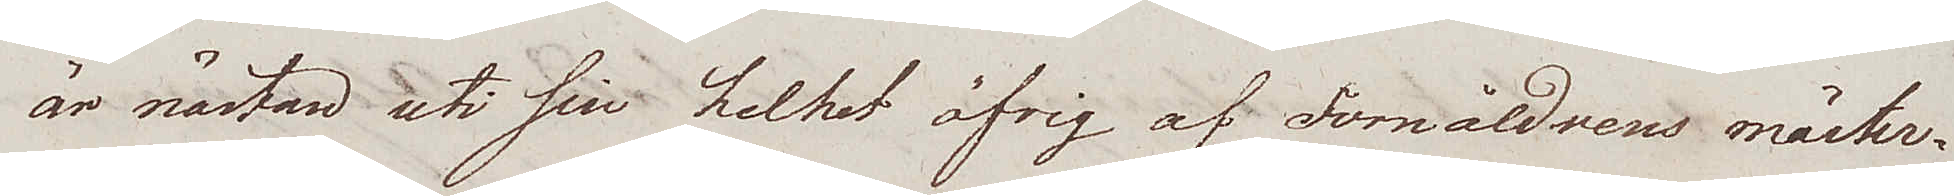är nästan uti sin helhet öfrig af Fornåldrens mäster¬
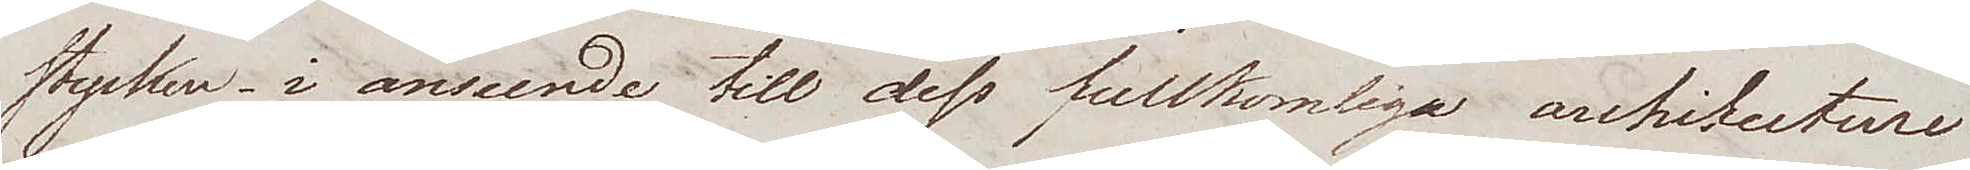stycken, i anseende till dess fullkomliga architecture
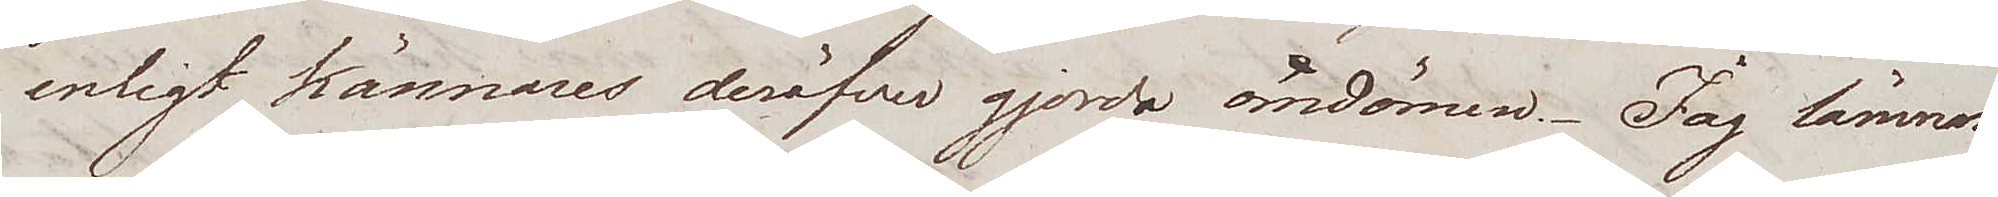enligt kännares deröfver gjorda omdömen. Jag lämnar
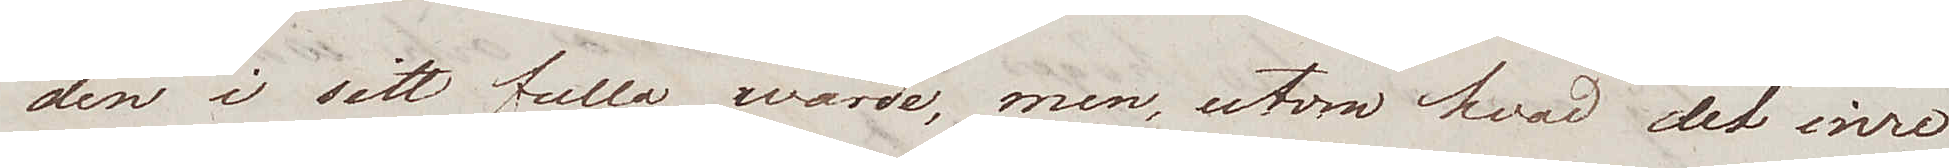den i sitt fulla wärde, men, utom hvad det inre
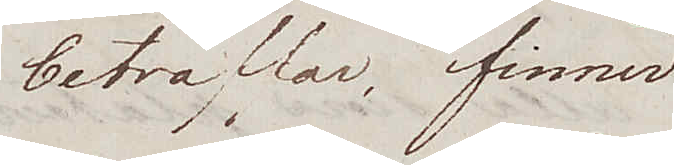beträffar, finner
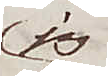jag
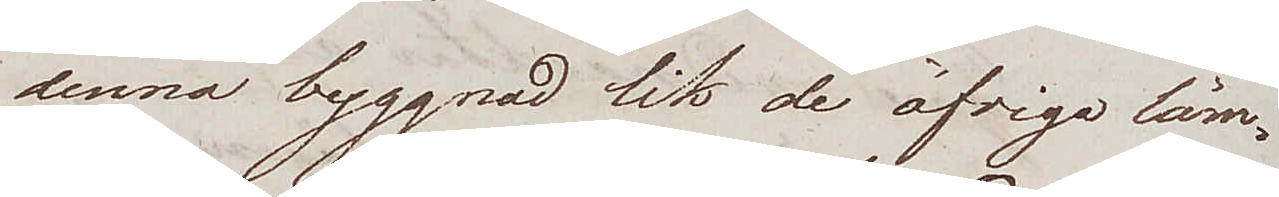denna byggnad lik de öfriga läm¬
